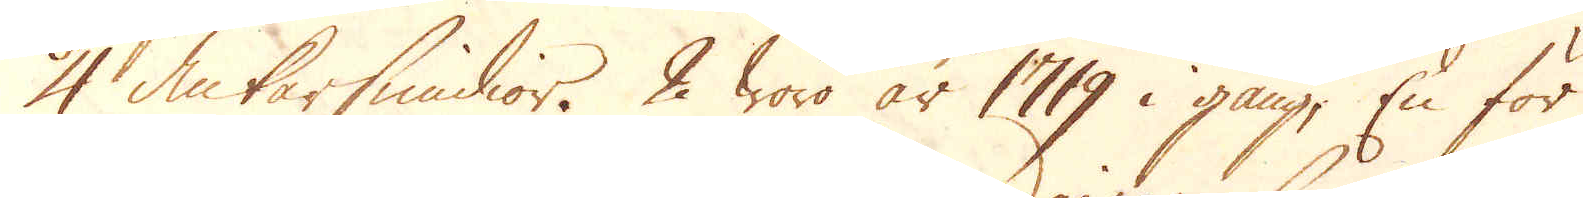4 Ankarsmidior. 2 woro år 1719 i gång, En för
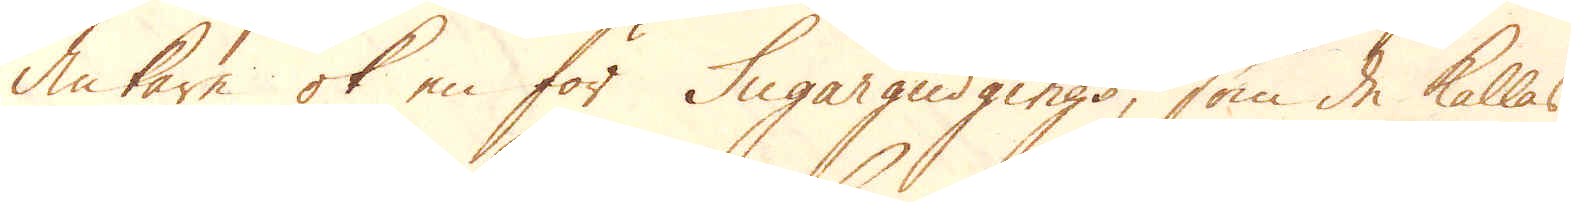Ankare ok en för Sugargudgings, som de kallas,
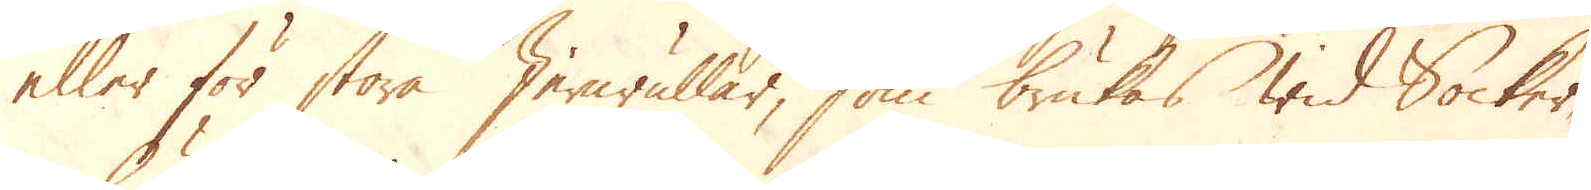eller för stora Jernrullar, som brukkas wid Socker-
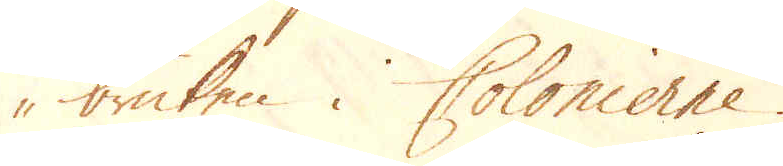bruken i Colonierne.
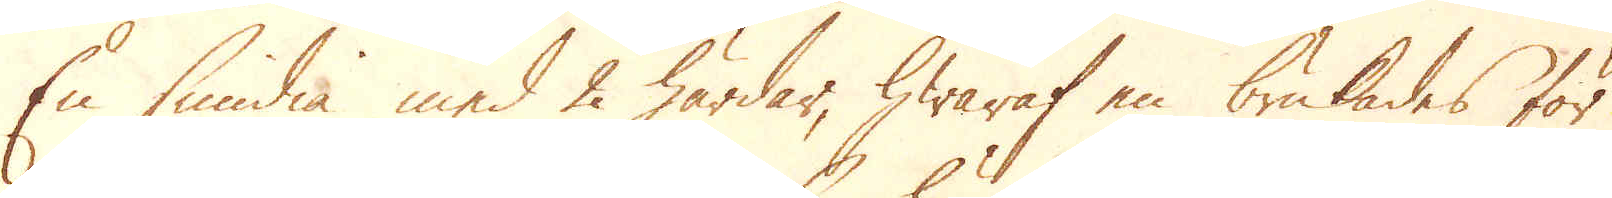En smidia med 2 härdar, hwaraf en brukades för
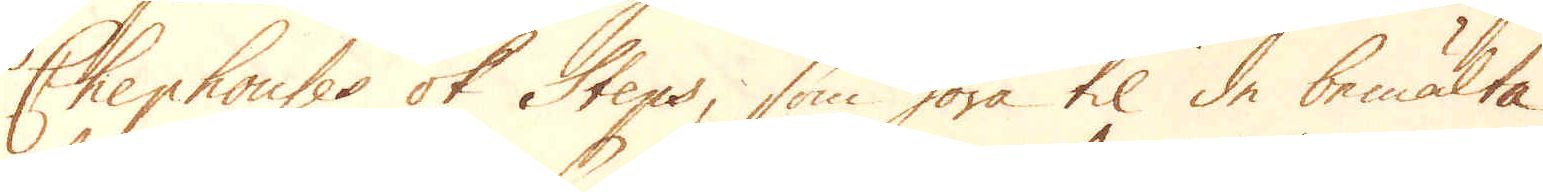Chephanses ok Steps, som höra til de bemälta
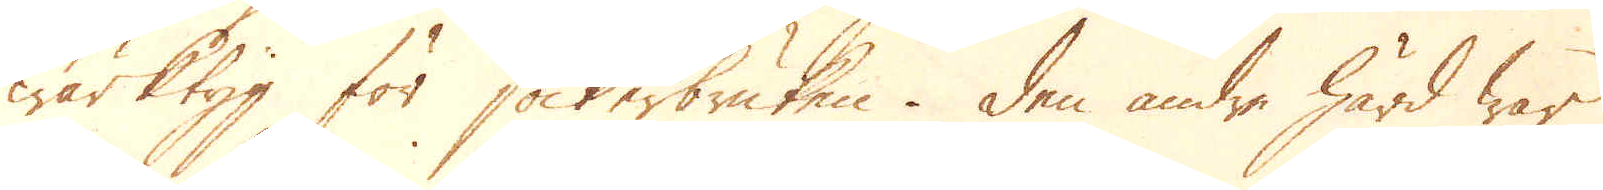wärktyg för sockerbruken. Den andre härd war
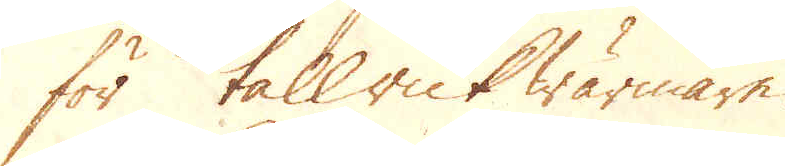för tallrik wärmare.
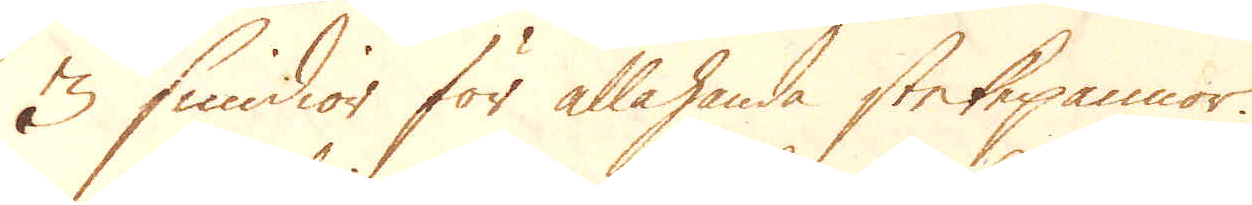3 smidior för allehanda stekpannor.
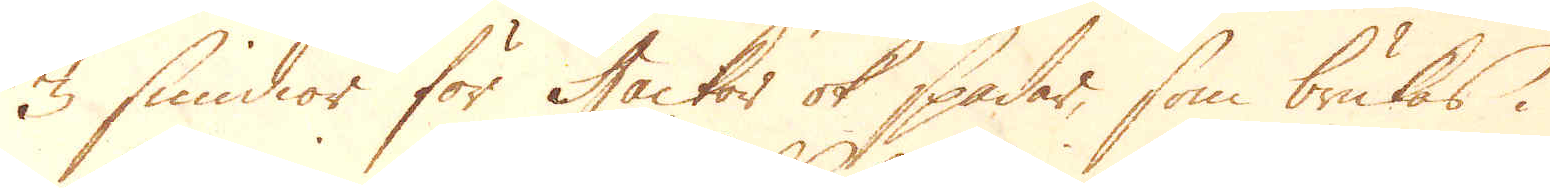3 smidor för Hackor ok spadar, som brukas i
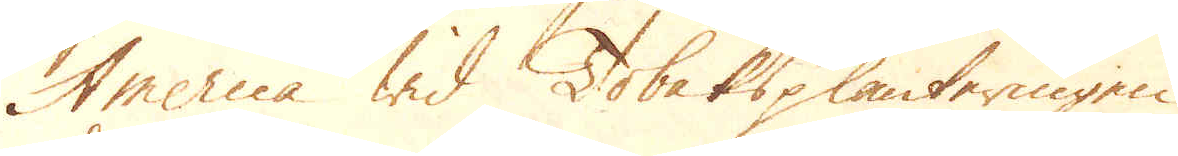America wid Tobaksplanteringen.
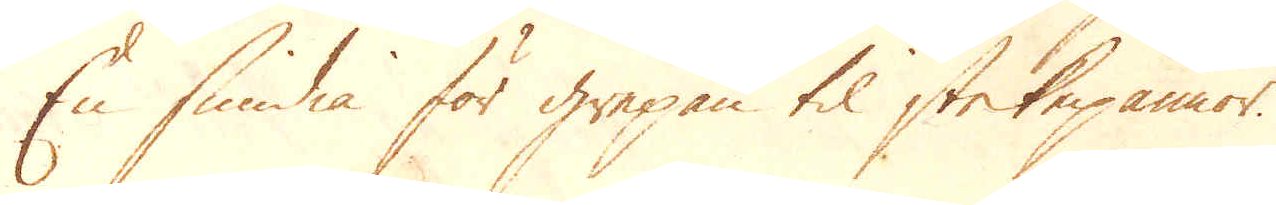En smidia för grepan til stekpannor.
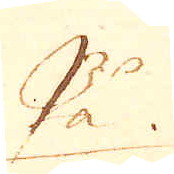På
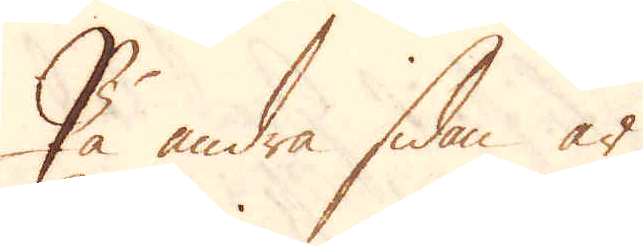På andra sidan är
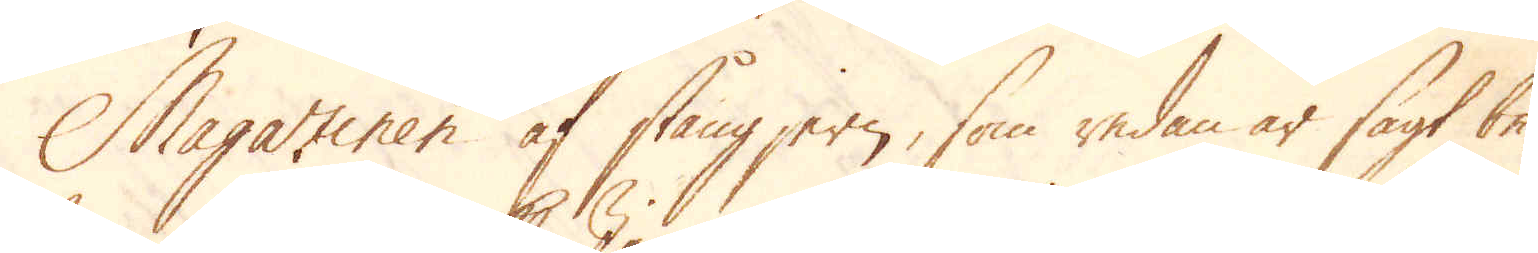Magaziner af stångjern, som redan är sagt be-
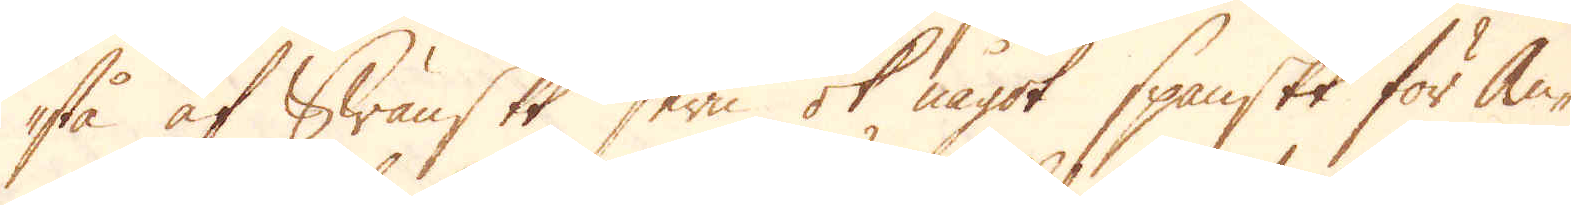stå af Swänskt Jern ok något Spanskt för An-
